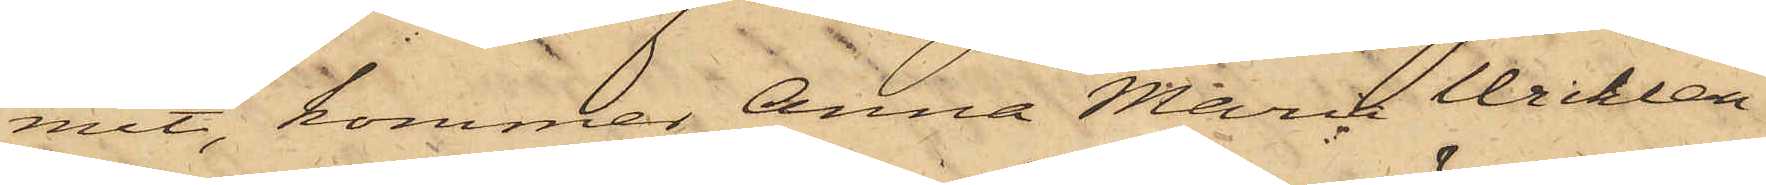mit, kommer Anna Maria Wicklan¬
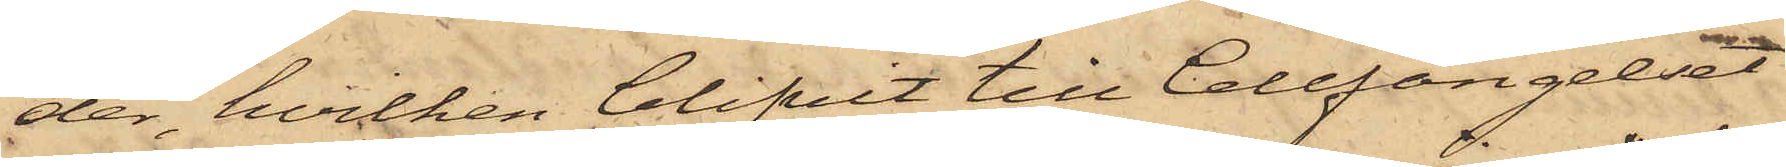der, hvilken blifvit till Cellfängelset
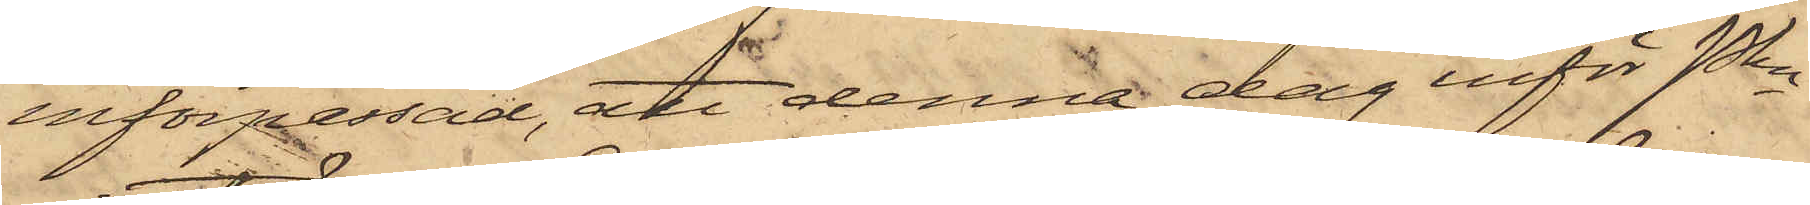införpassad, att denna dag inför Pkn
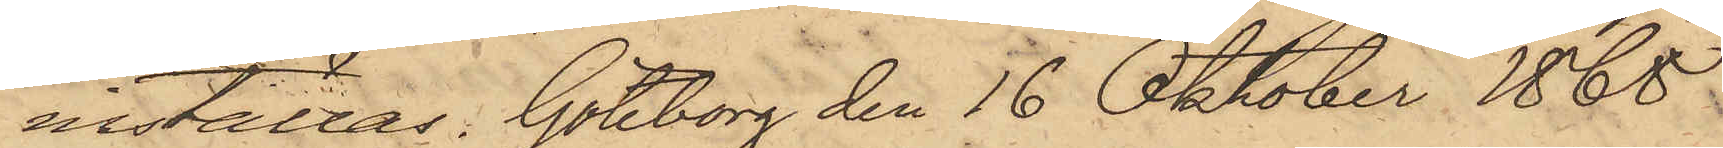inställas. Göteborg den 16 Oktober 1868.
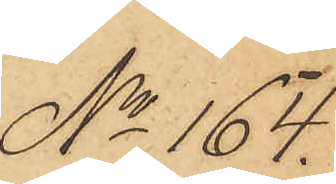No 164.
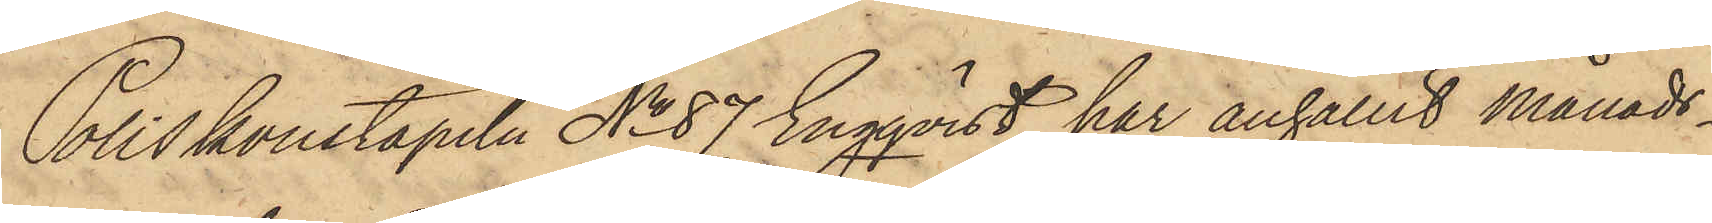Poliskonstapeln No 87 Engqvist, har anhållit månads¬
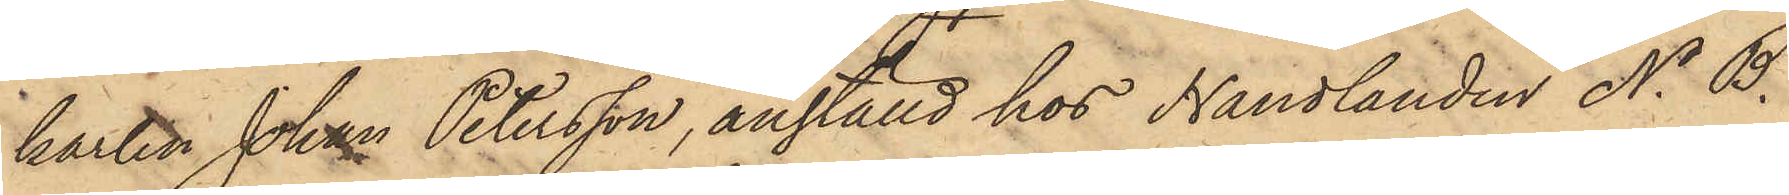karlen Johan Petersson, anställd hos Handlanden N. B.
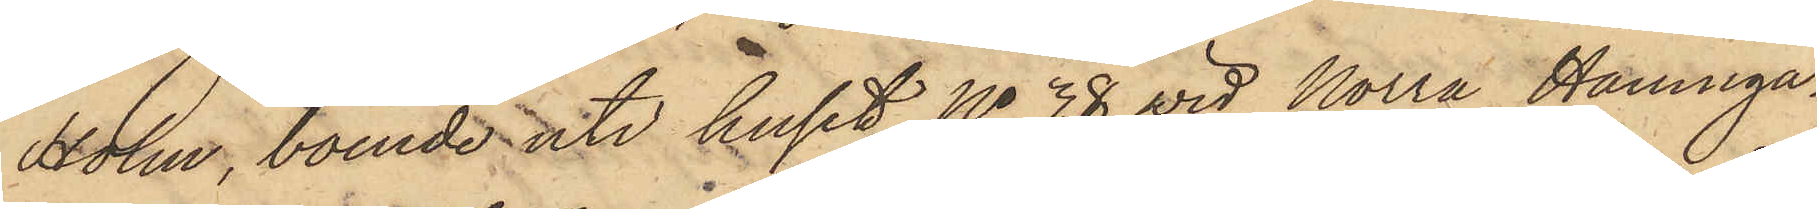Holm, boende uti huset No 38 vid Norra Hamnga¬
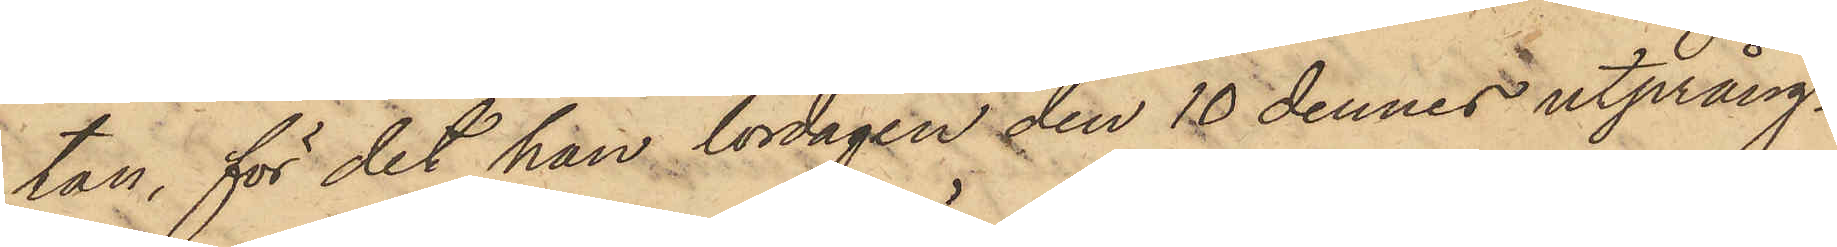tan, för det han lördagen den 10 dennes utprång¬
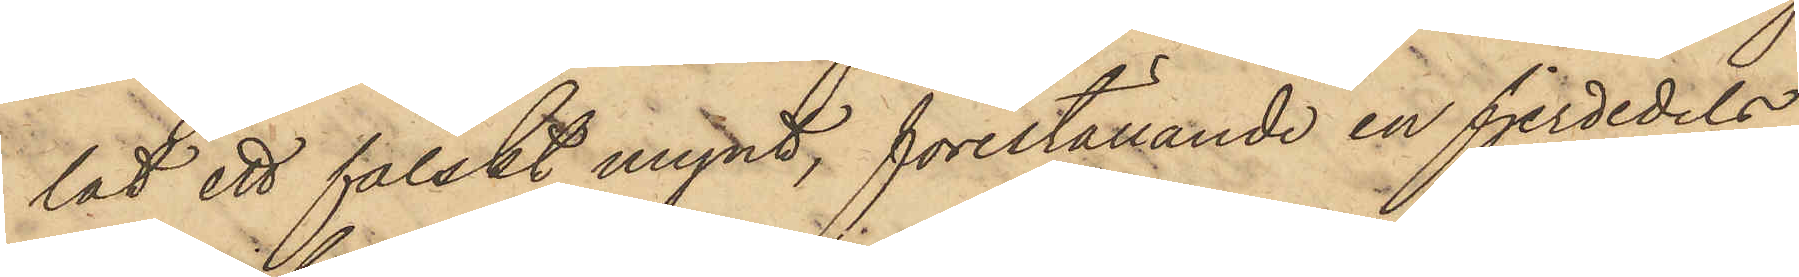lat ett falskt mynt, föreställande en fjerdedels
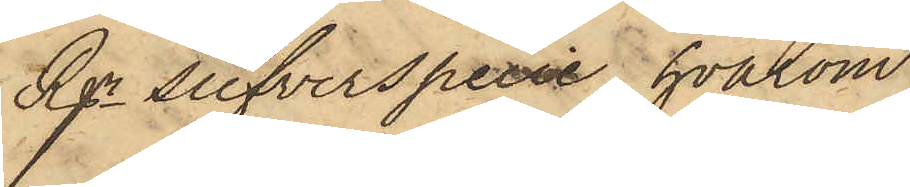Rgr silfverspecie, hvarom
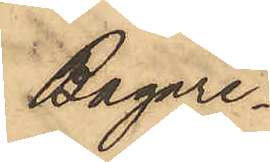Bagare¬
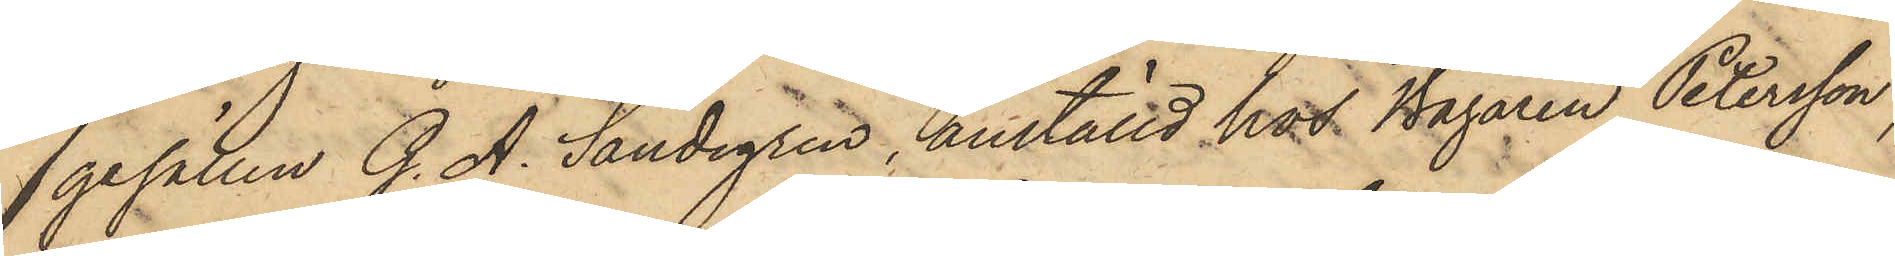gesällen G. A. Sandegren, anställd hos Bagaren Petersson,
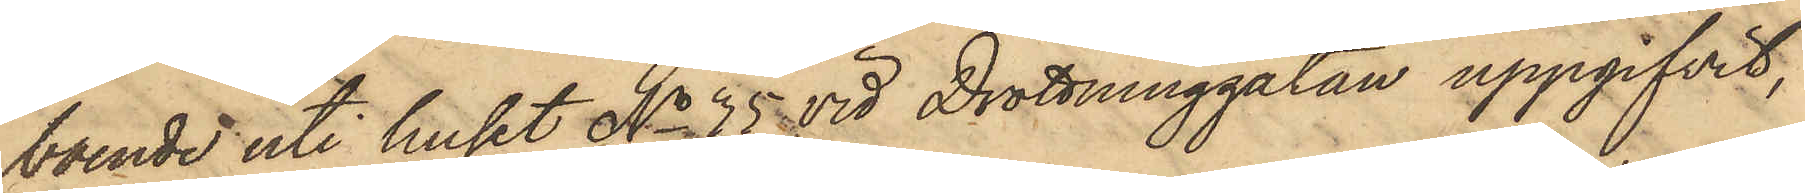boende uti huset No 35 vid Drottninggatan uppgifvit,
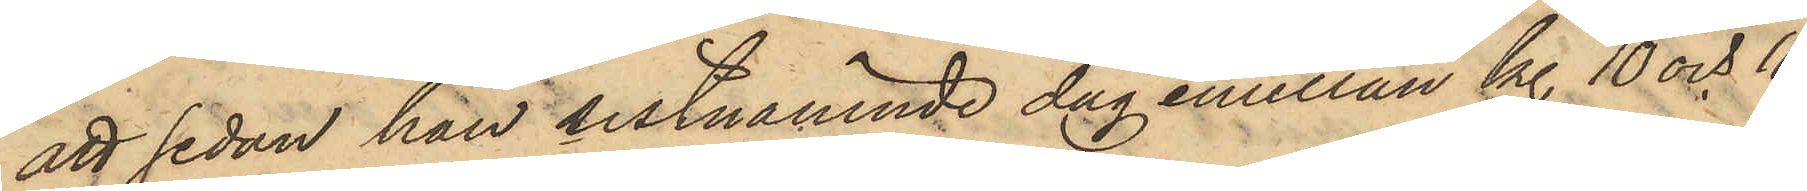att sedan han sistnämnde dag emellan kl. 10 och 11
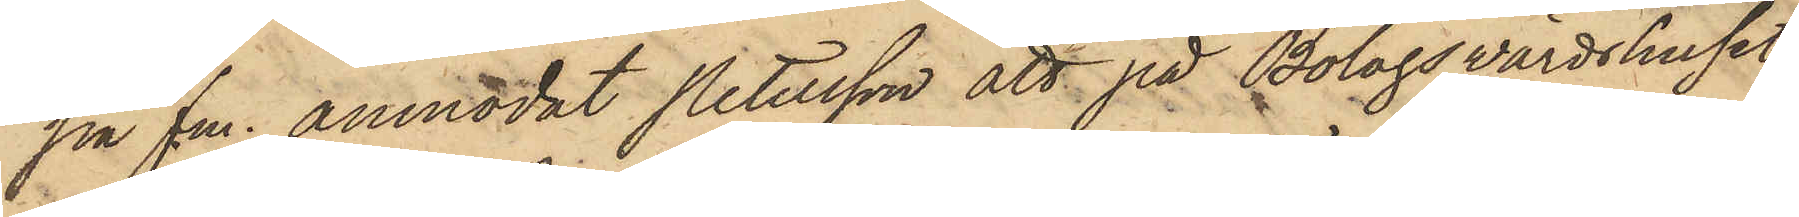på fm. anmodat Petersson att på Bolagsvärdshuset
